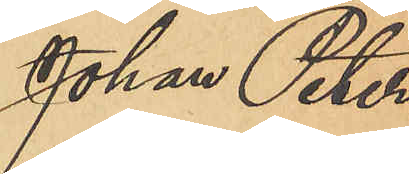Johan Peter
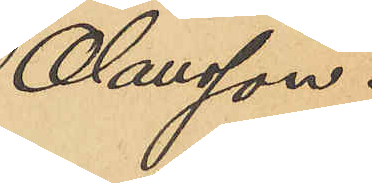Olausson.
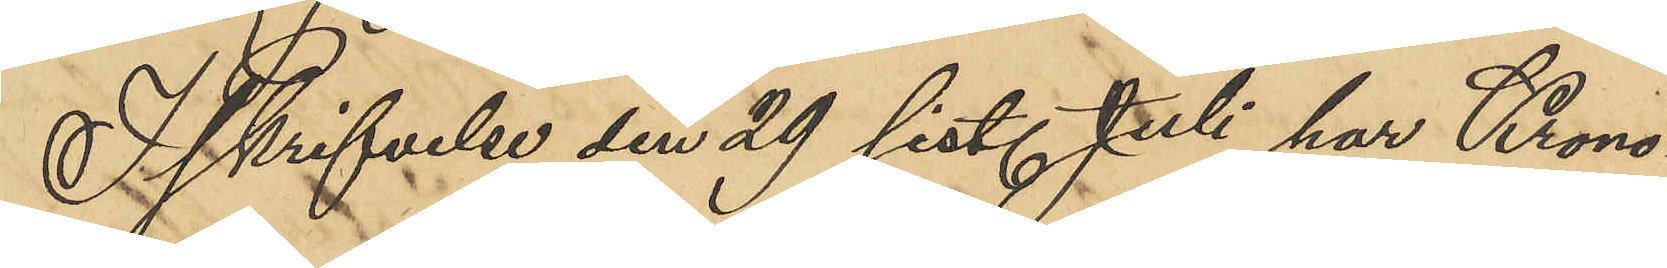I skrifvelse den 29 sist. Juli har Krono¬
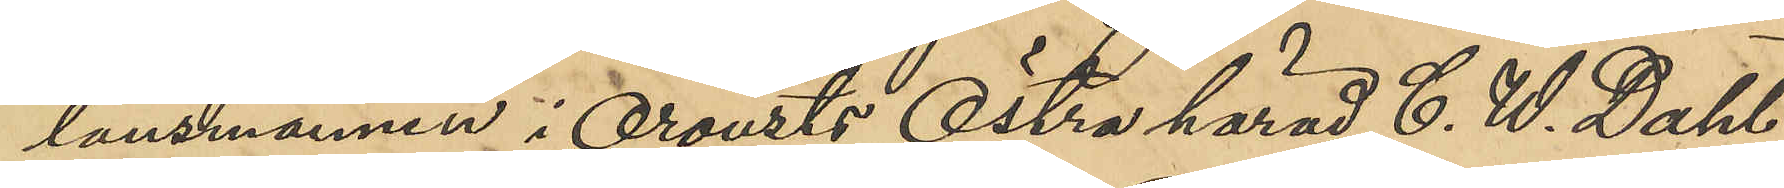länsmannen i Oroust Östra härad C. W. Dahl,
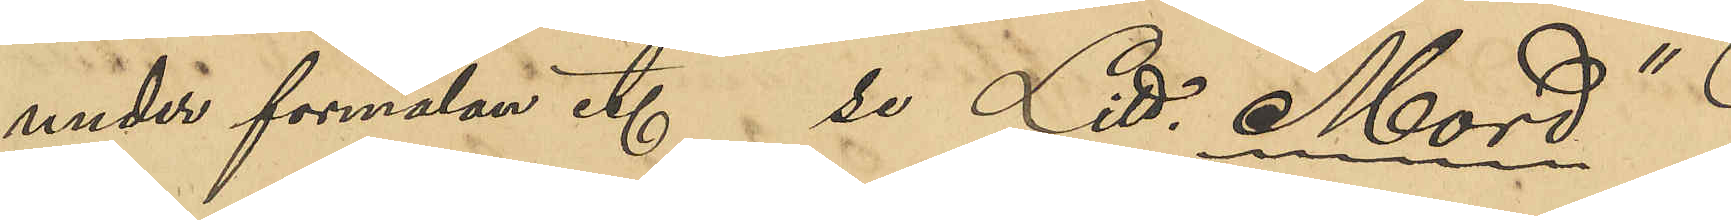under förmälan t.  se Litt. "Mord"
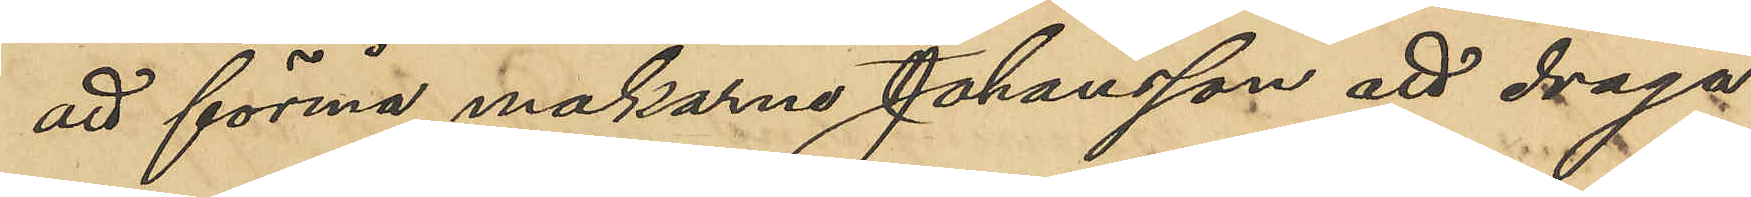att förmå makarna Johansson att draga
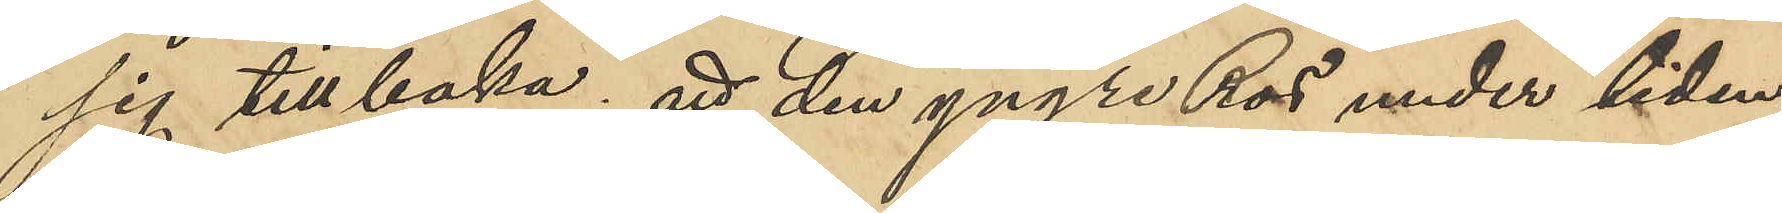sig tillbaka; att den yngre Ros under tiden
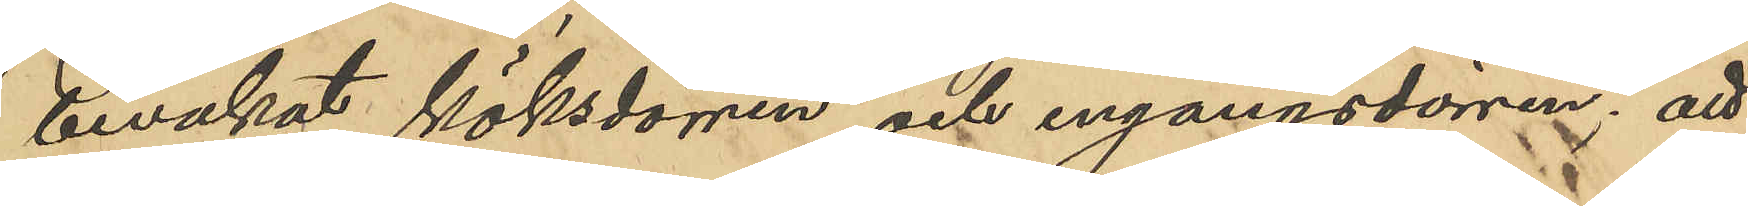bevakat köksdörren och ingångsdörren; att
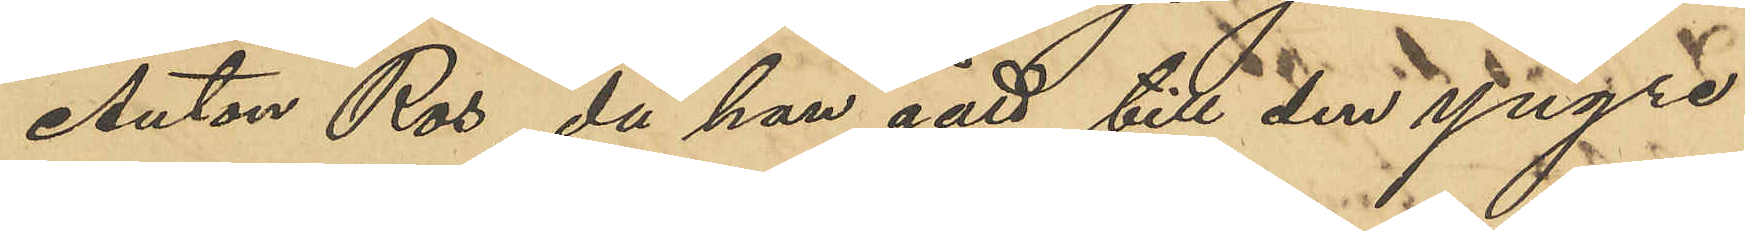Anton Ros, då han gått till den yngre 
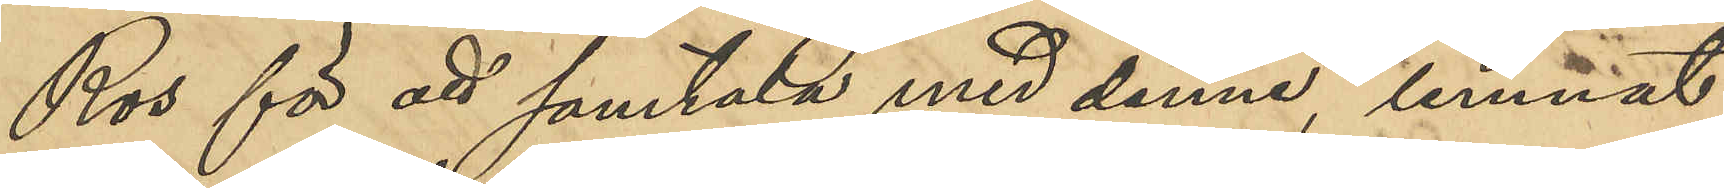Ros för att samtala med denne, lemnat
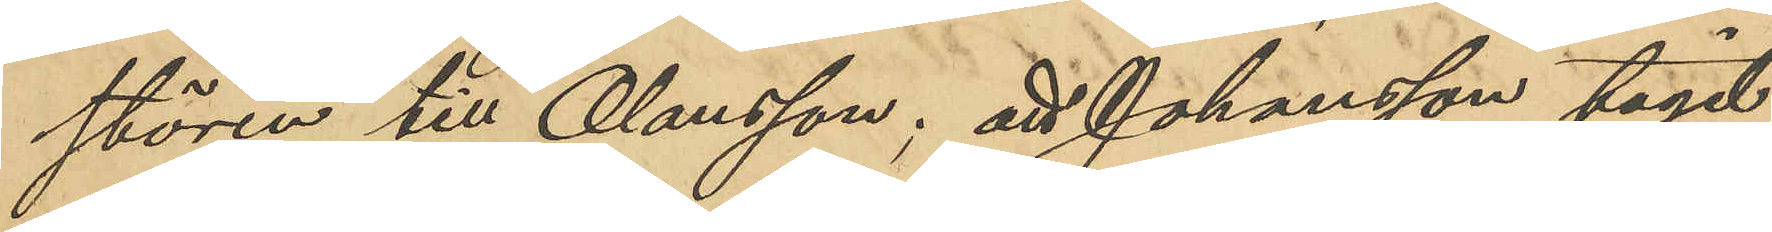stören till Olausson; att Johansson tagit
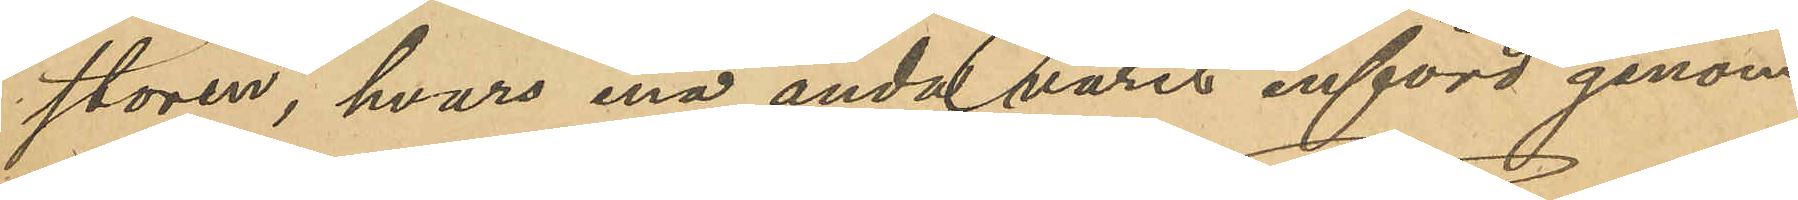stören, hvars ena ända varit införd genom
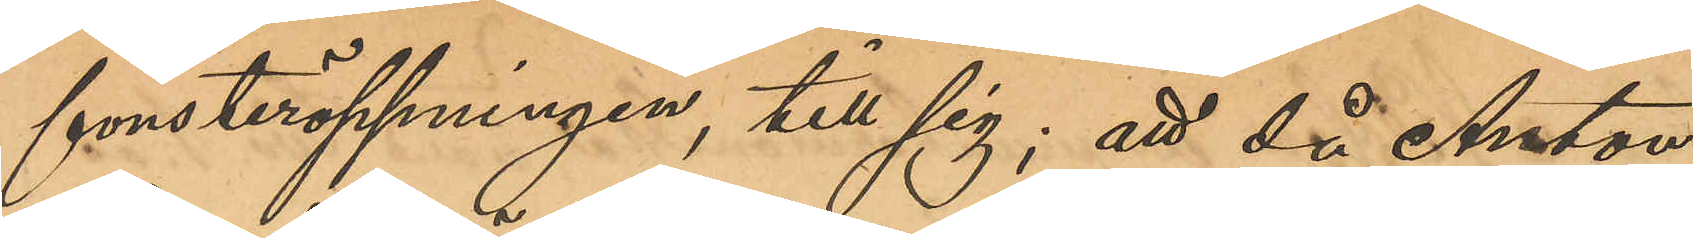fönsteröppningen, till sig; att då Anton
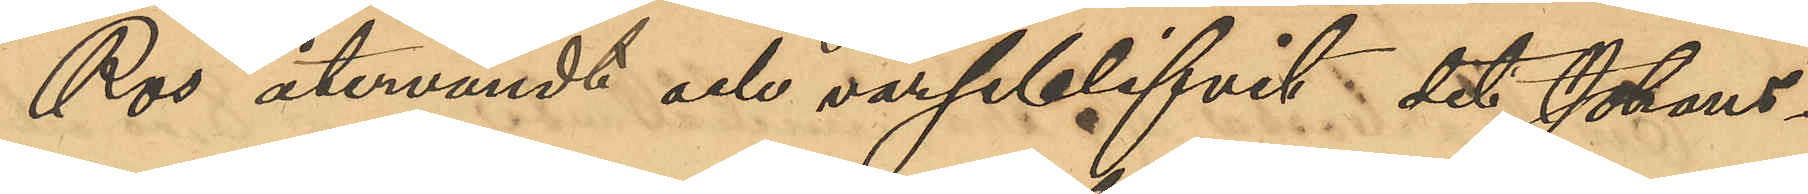Ros återvändt och varseblifvit det Johans¬
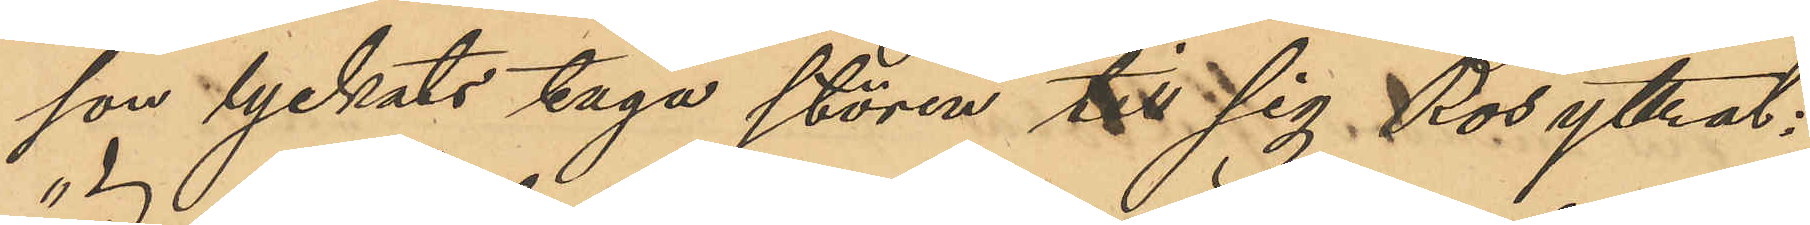son lyckats taga stören till sig, Ros yttrat:
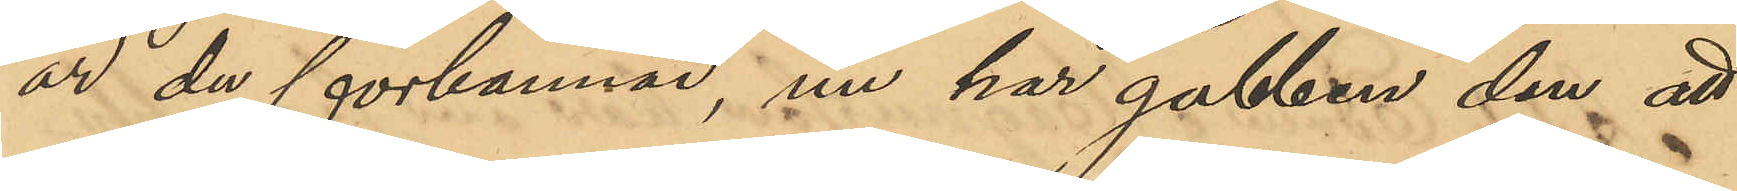"är du förbannad, nu har gubben den att
